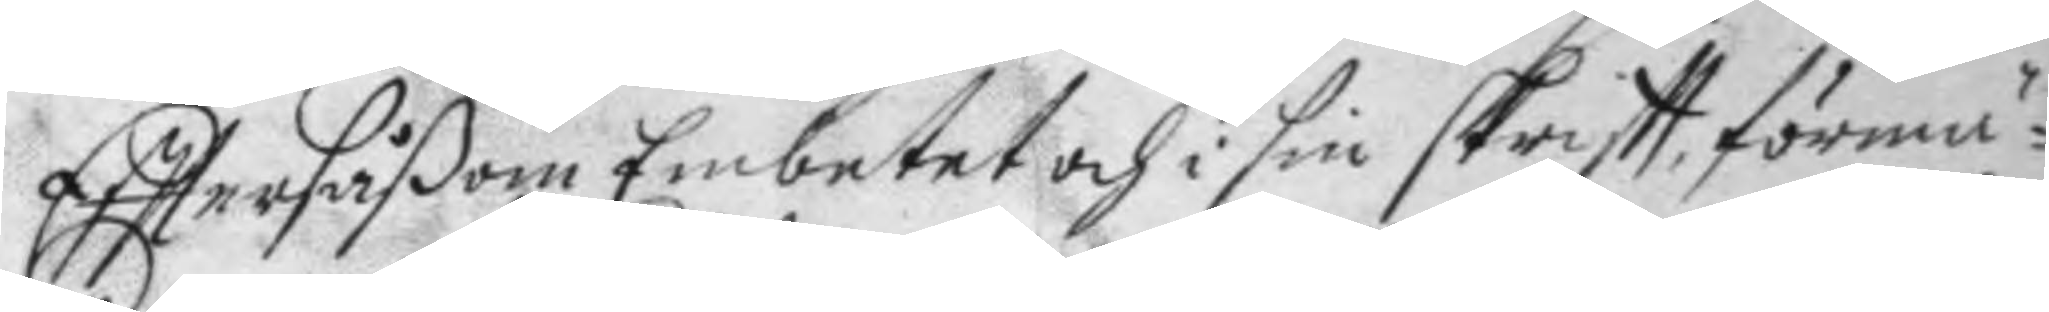Eftter såßom Embetet och i sin skriftt, förmä¬
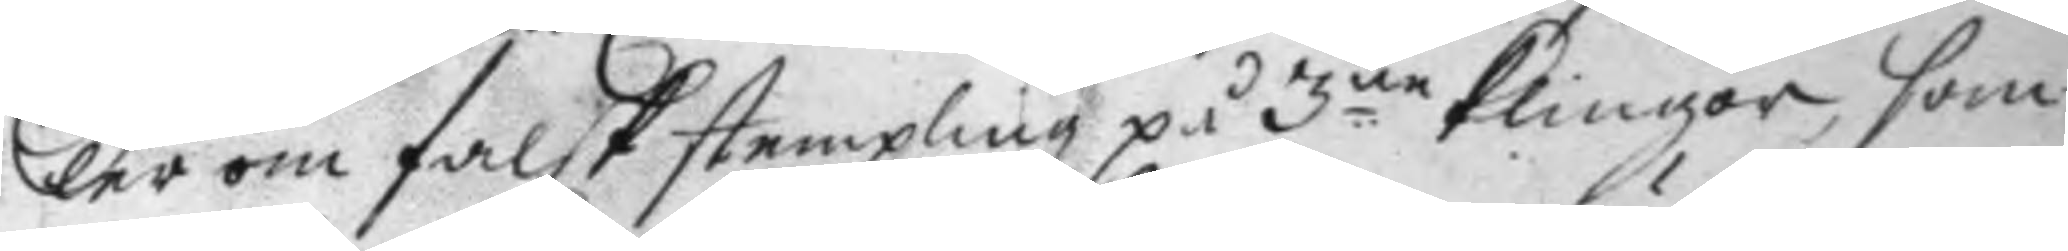ler om falsk stempling på 3.ne klingor, som
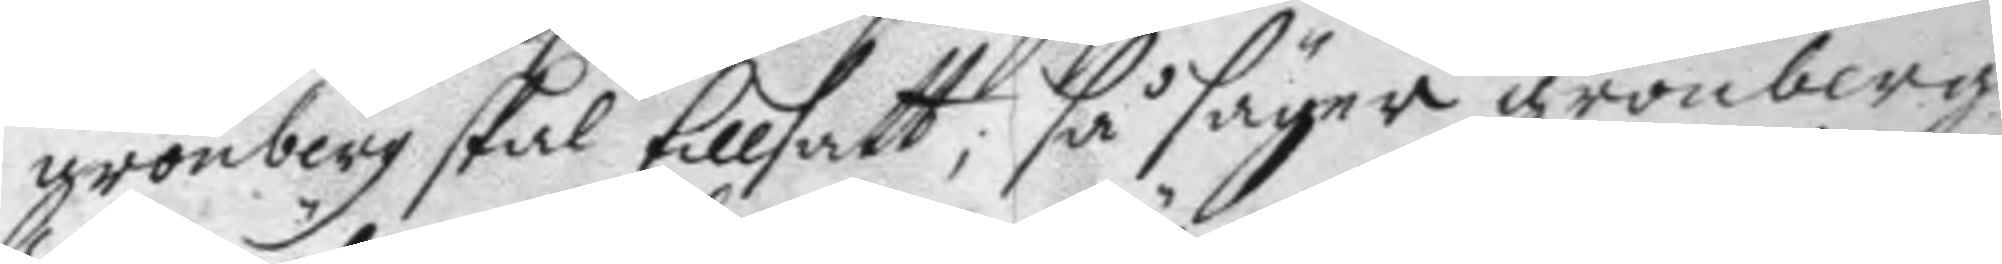grönberg skal tillsatt; så säyer grönberg
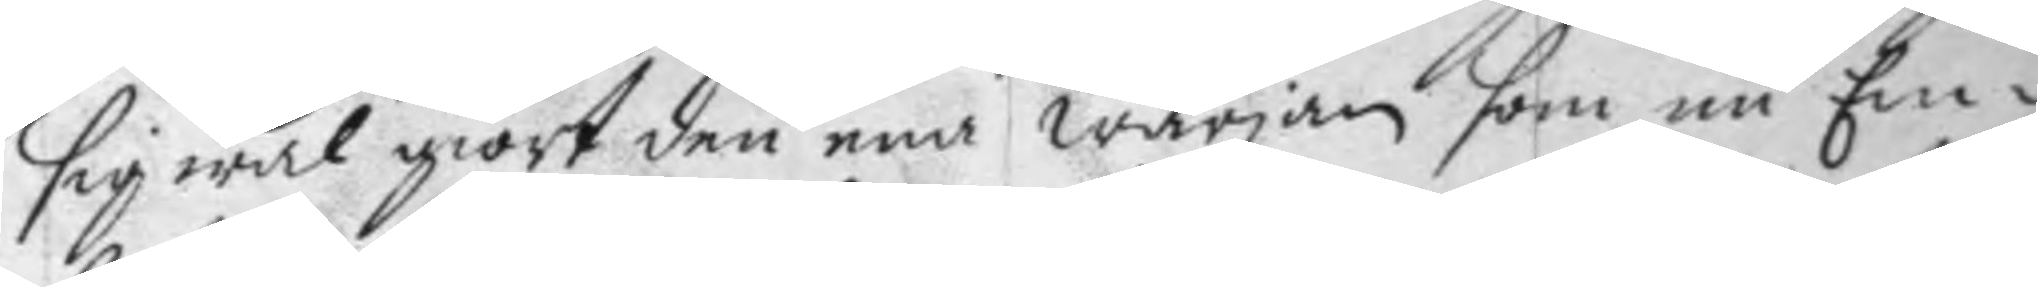sig wäl giort den ena wärjan som nu Em¬
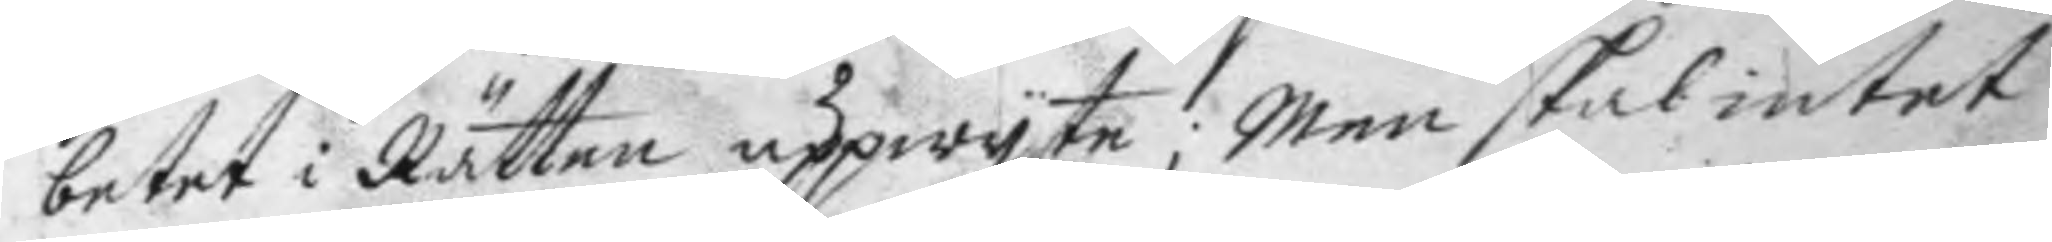betet i Rätten uppwyste; Men skal intet
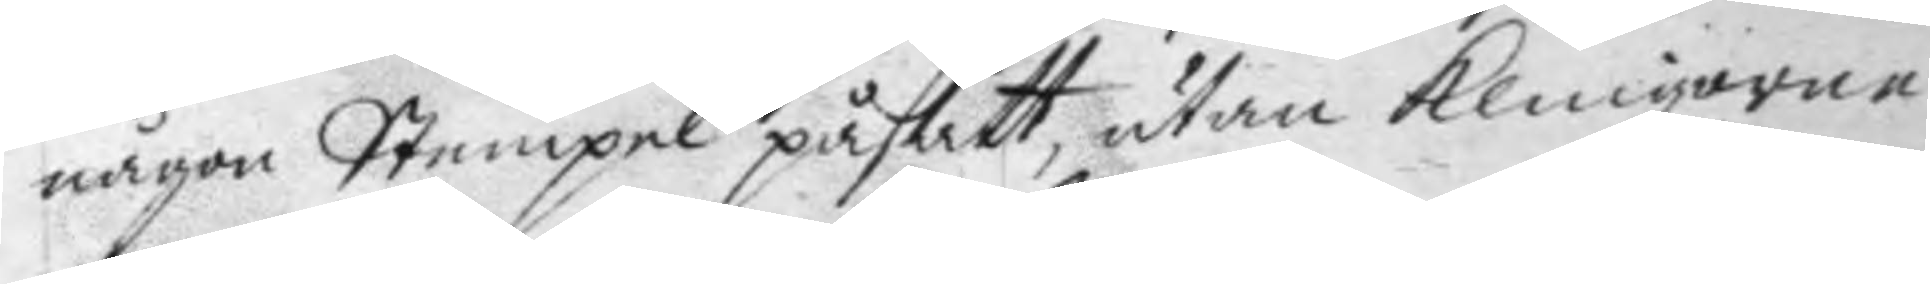någon Stempel påsatt, utan klingorne
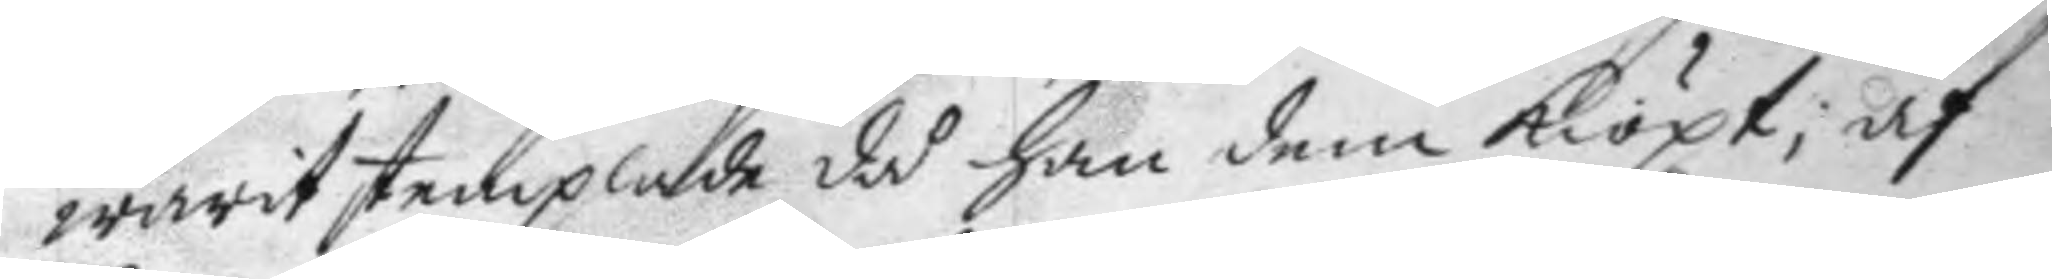warit stemplade då han dem kiöpt, af
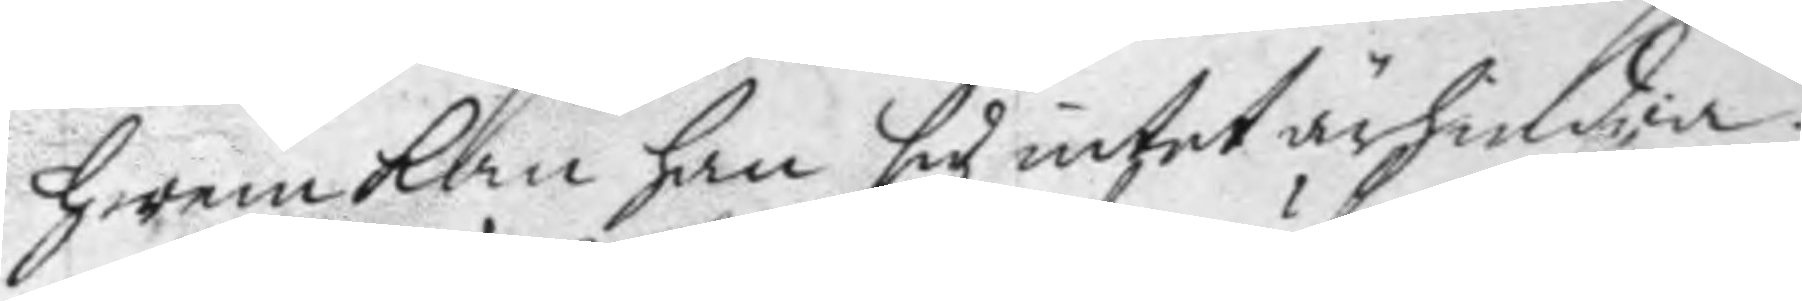hwem kan han sig intet ärhindra.
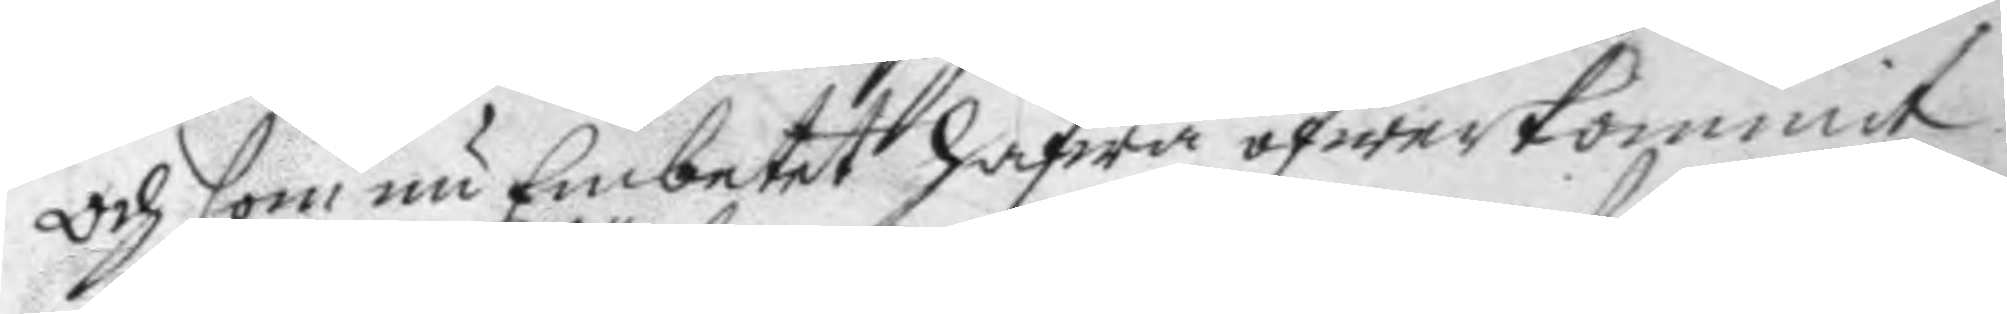Och som nu Embetet hafwa öfwerkommit
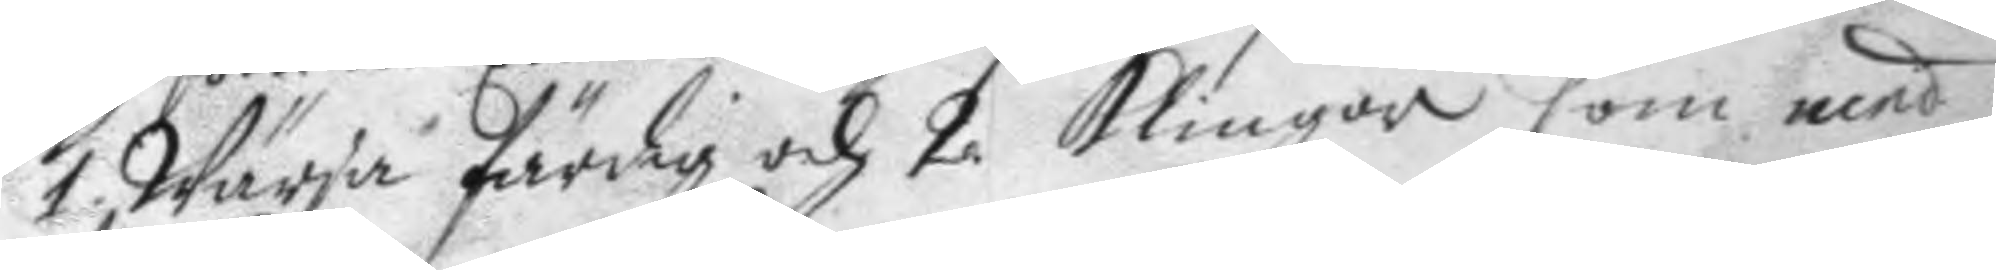1. Wärja färdig och 2. klingor som med
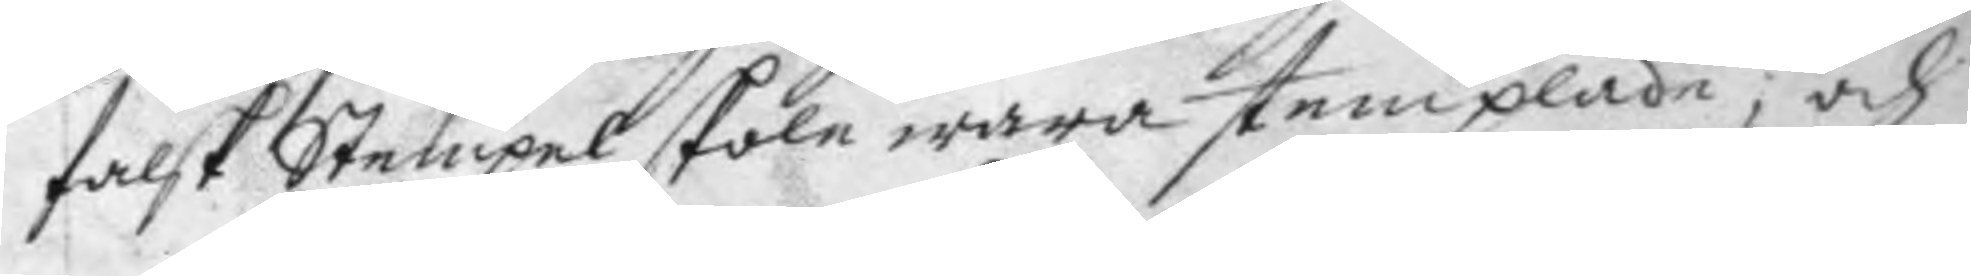falsk Stempel skole wara stemplade; och
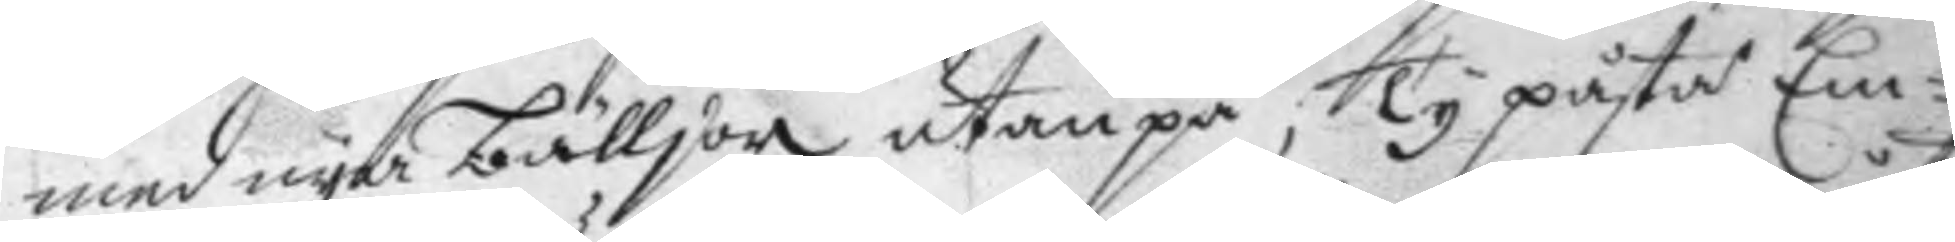med nya bälljor utanpå, Ty påstå Em¬
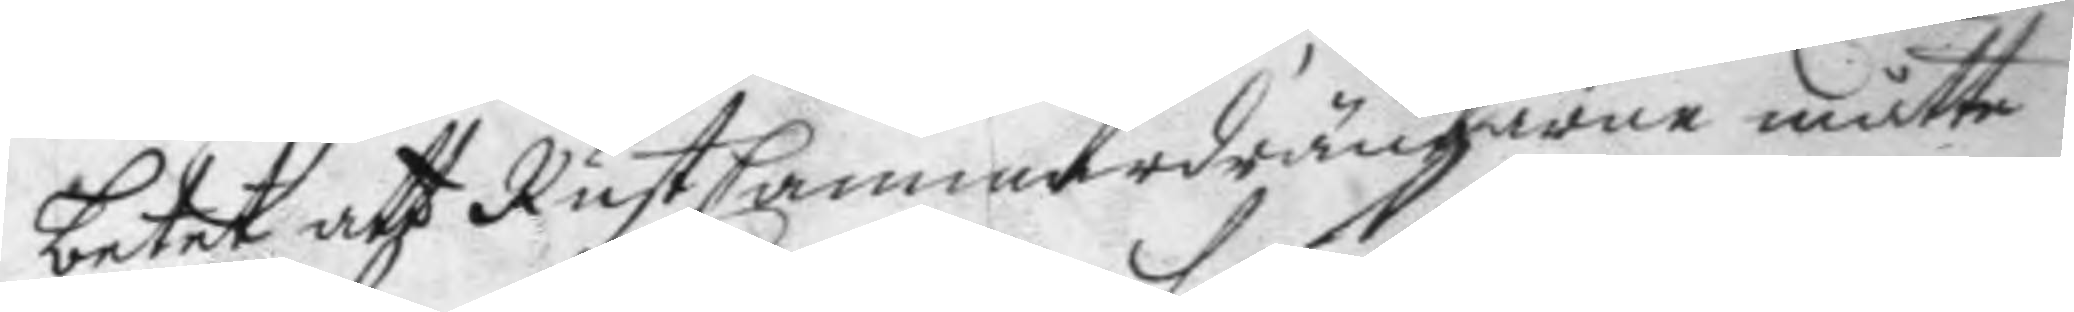betet att RustCammaredrängarne måtte
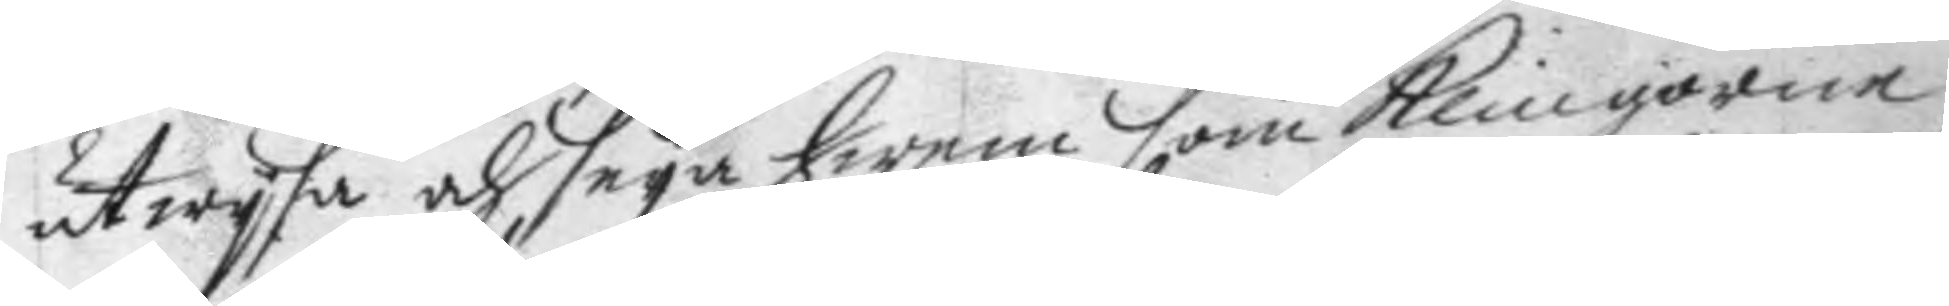utwysa och seya hwem som klingorne
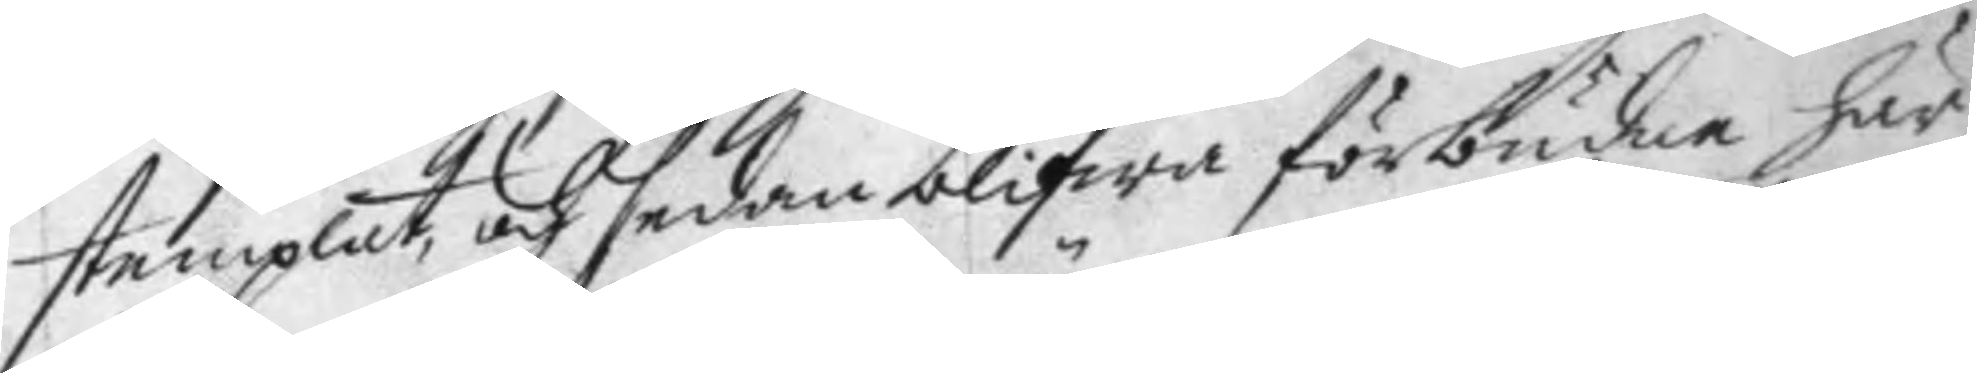stemplat, och sedan blifwa förbudne här
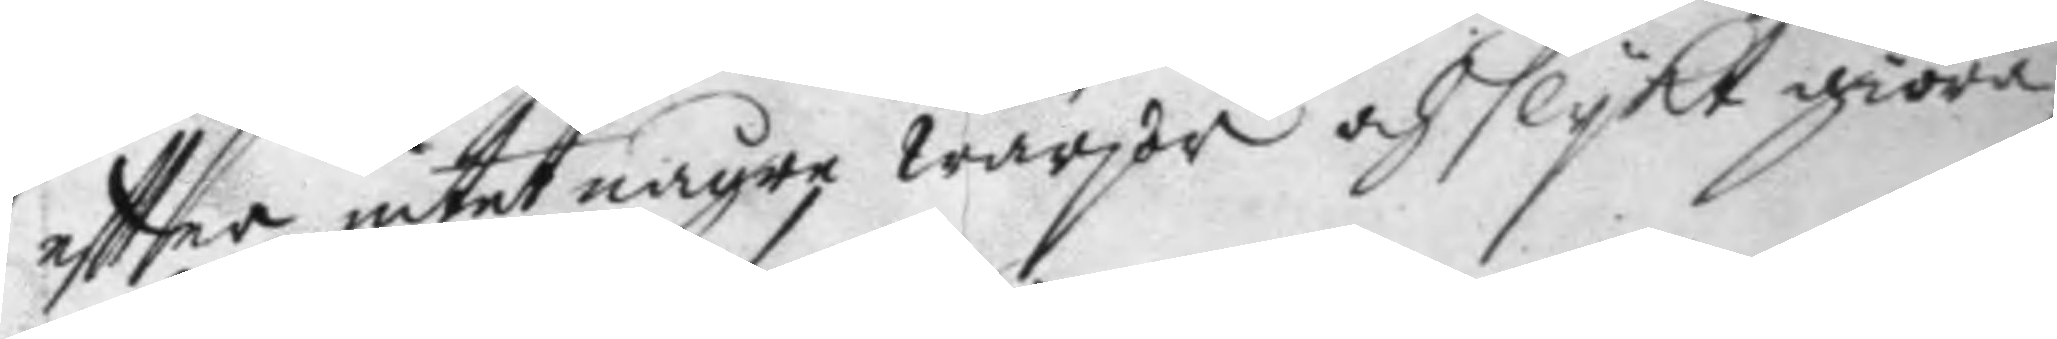eftter intet någre wärjor och slykt giöra,
